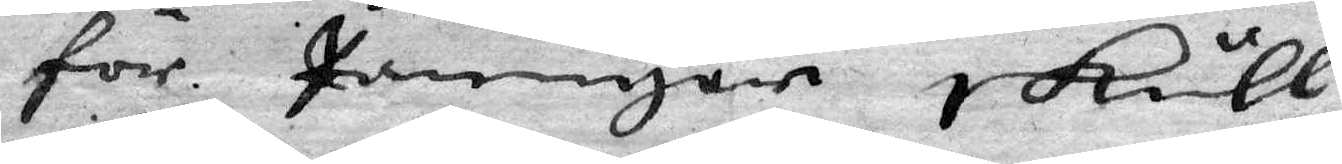för pengar skull
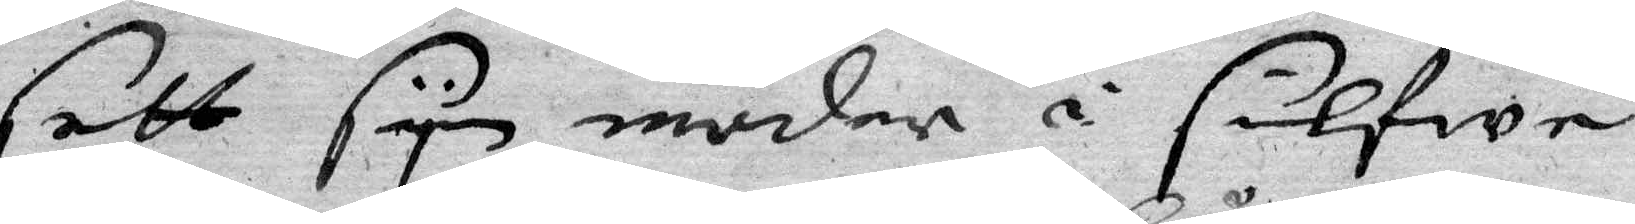sett syn moder i sielfwe
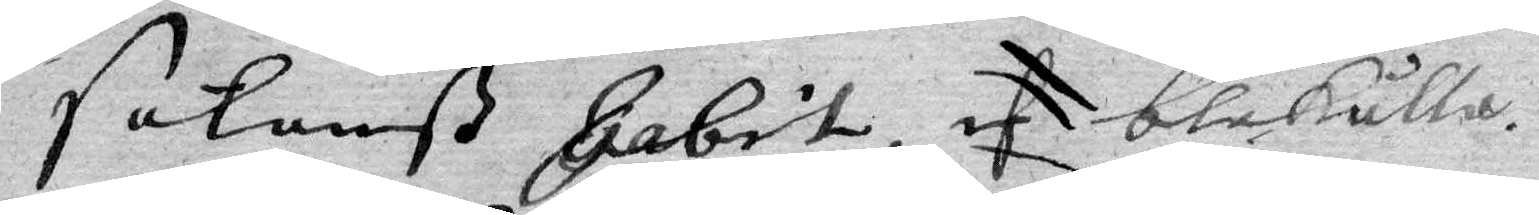satanß Gabit, blåkulla.
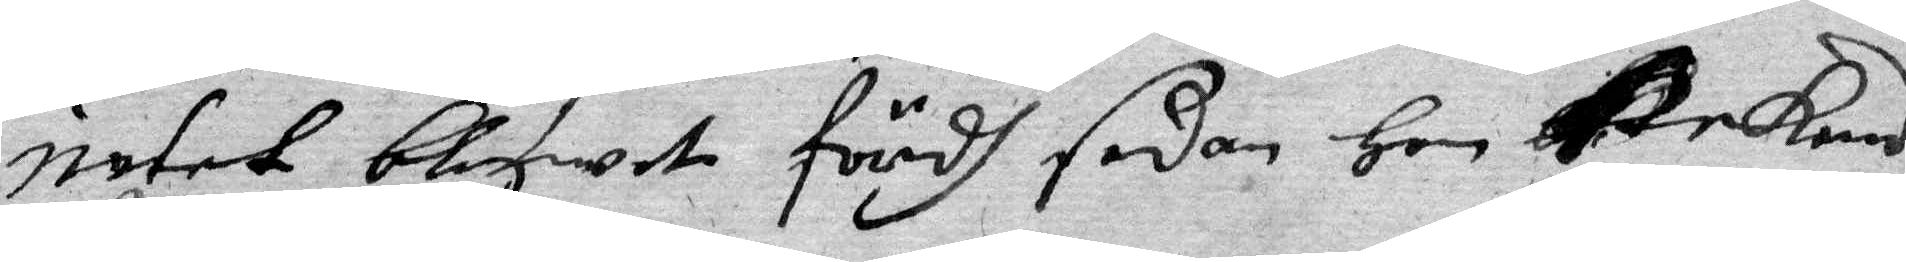intet blifwet fördh sedan hon Erkend
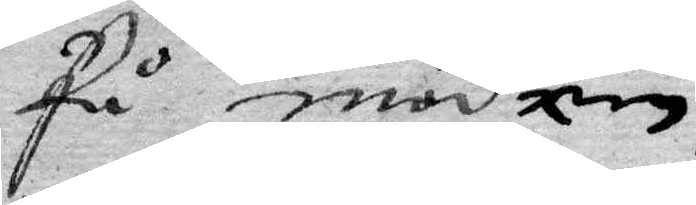på mödren.
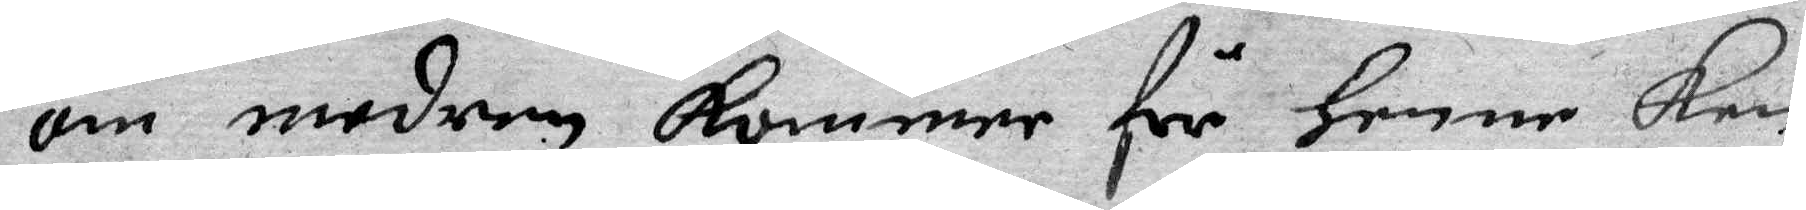om modren kommer för henne kan
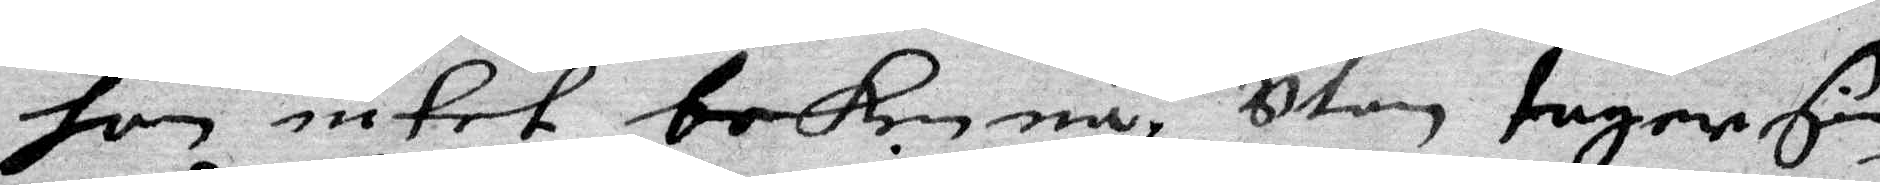hon intet bekenna, utan tager sine
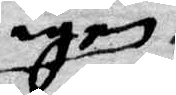igen
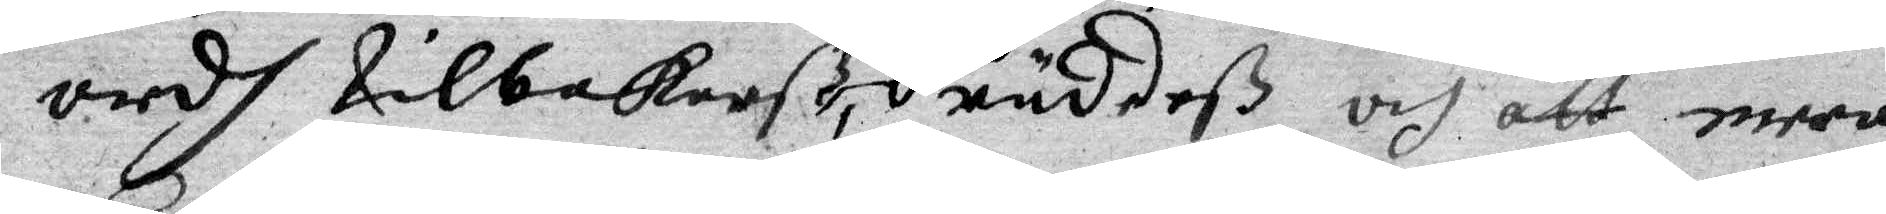ordh tilbakarß, räddeß och att mera
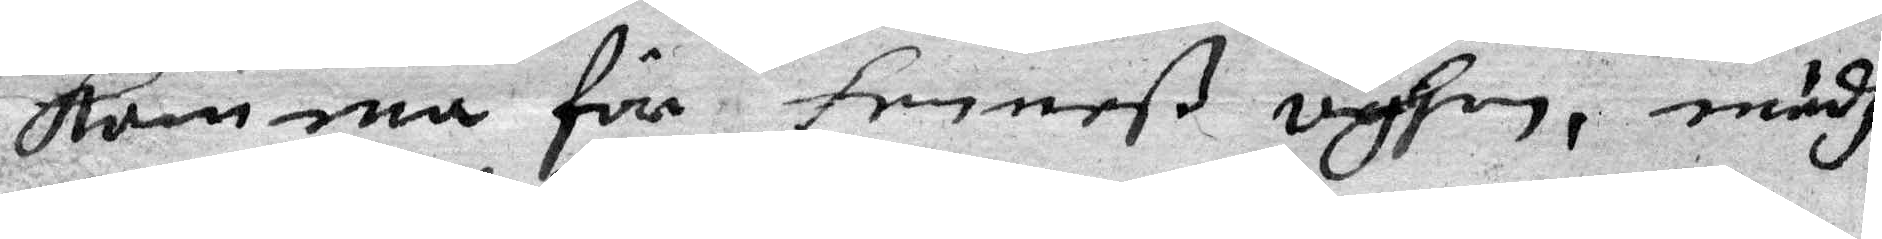komma för henneß vysen, mädh
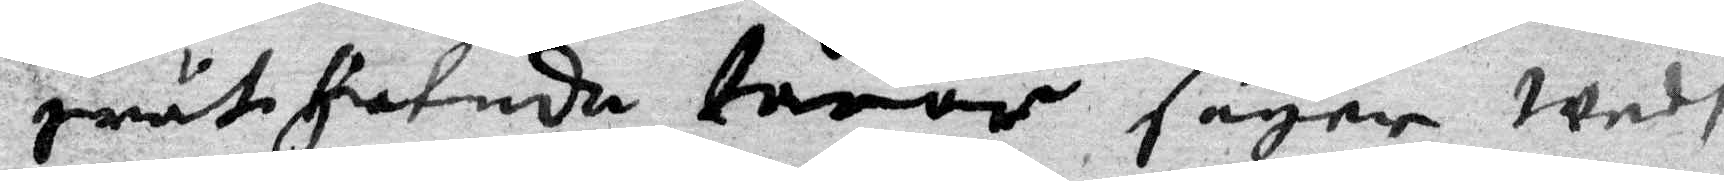grättiatede tårar seger wedh
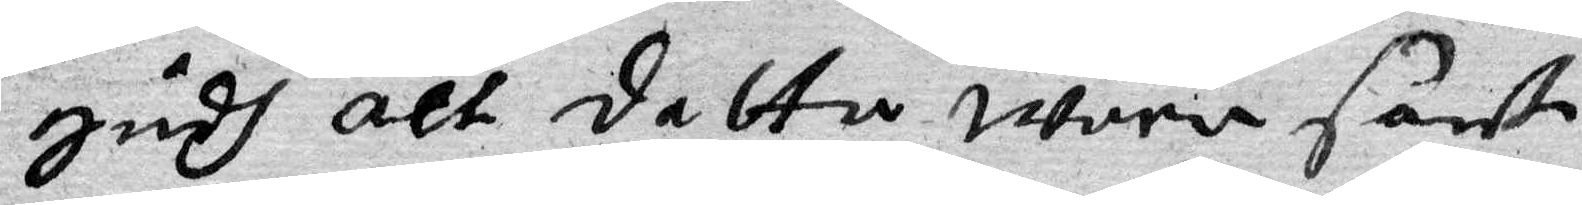gudh att detta wara sandt.
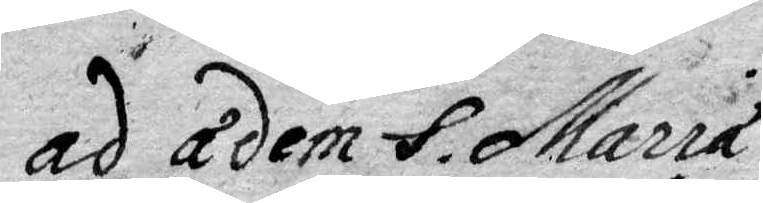ad adem S. Maria
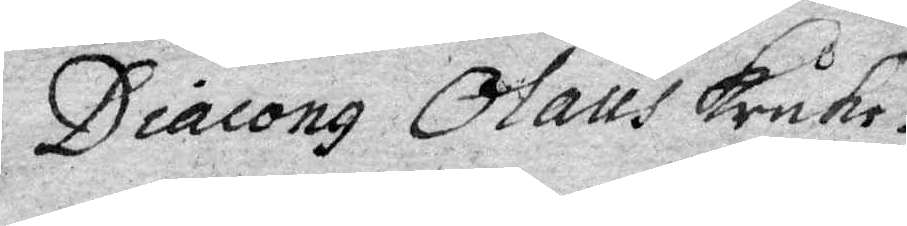Diacong Olaus Kruhr.
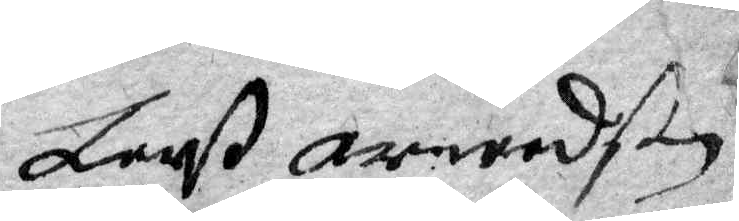Larß arwedson
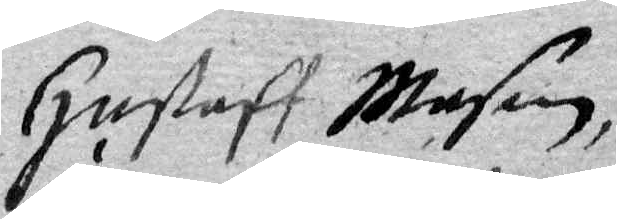Gustaff Mason,
